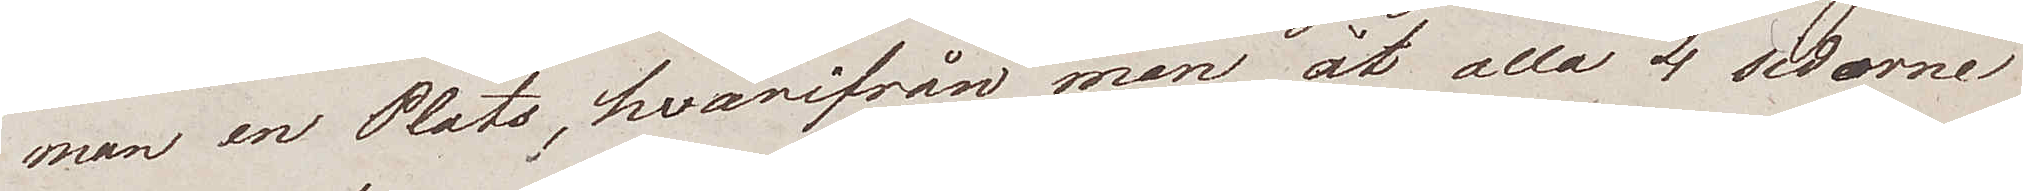man en Plats, hvarifrån man åt alla 4 sidorne
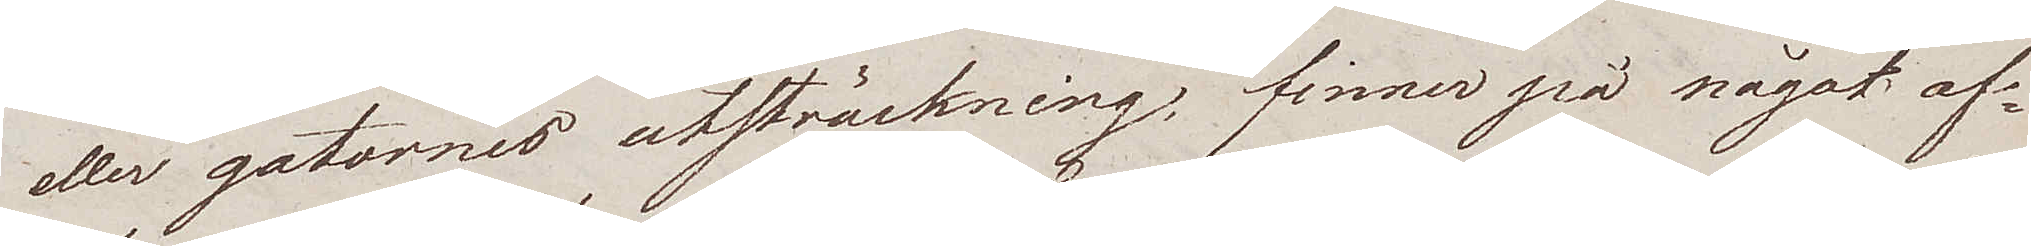eller gatornes utsträckning, finner på något af¬
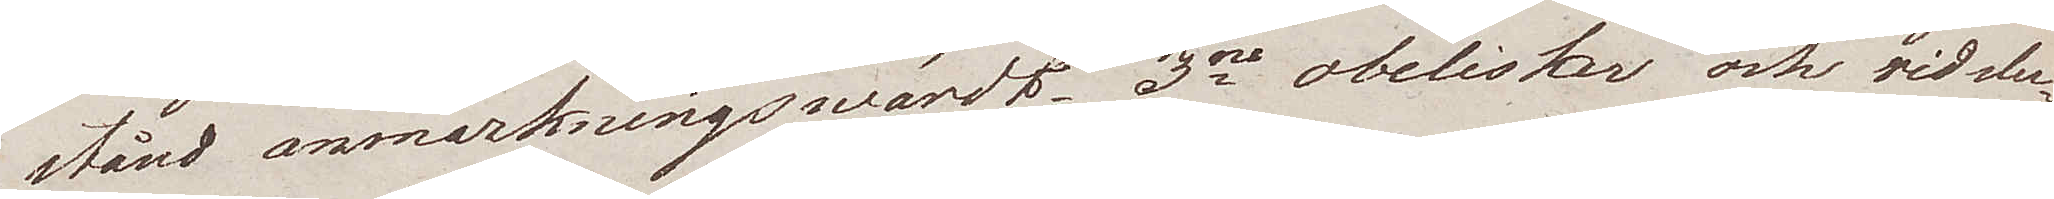stånd anmärkningswärdt. 3ne obelisker och vid slu¬
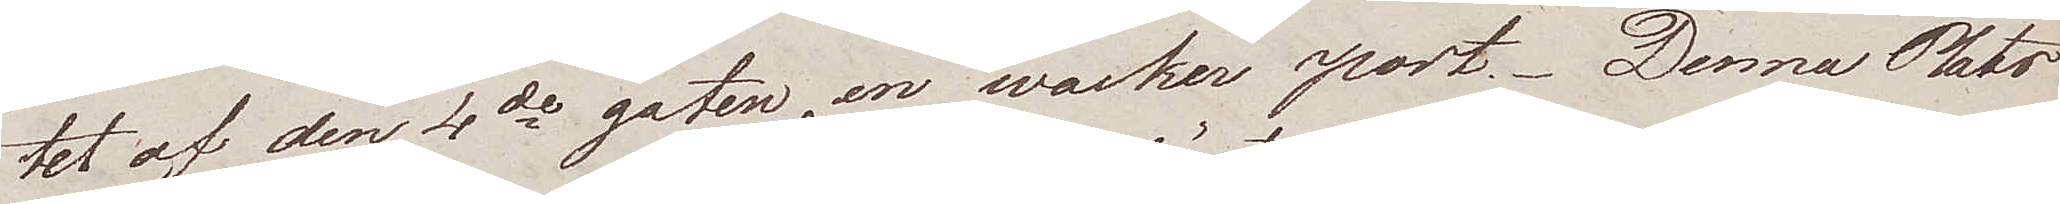tet af den 4de gaten en wacker port. Denna Plats
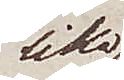lika
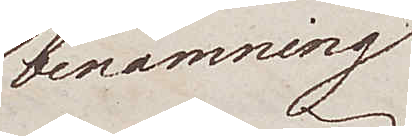benämning
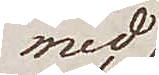med
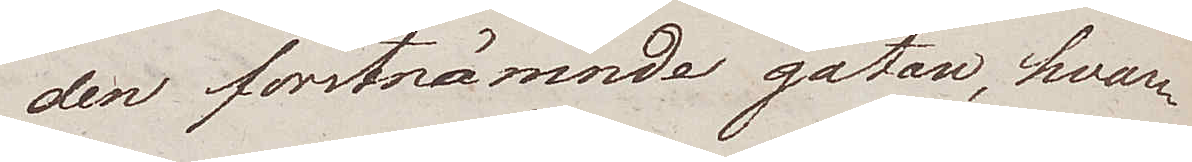den förstnämnde gatan, hvar¬
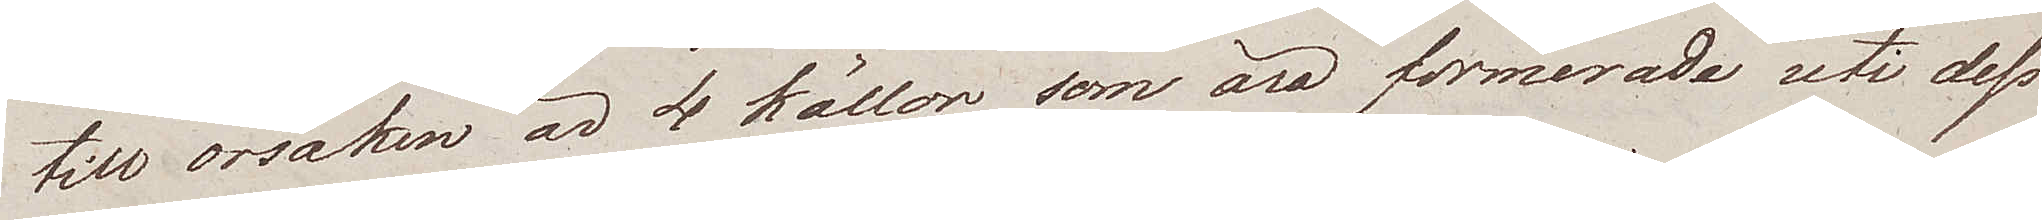till orsaken är 4 källor som äro formerade uti dess
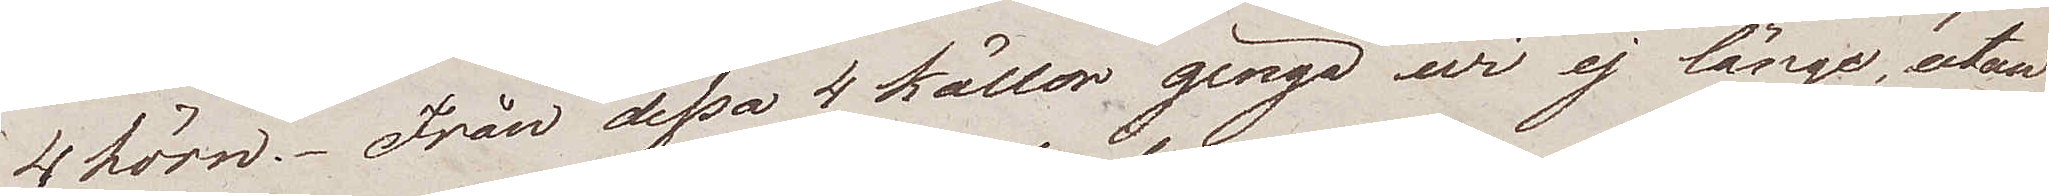4 hörn. Från dessa 4 källor gingo wi ej länge, utan
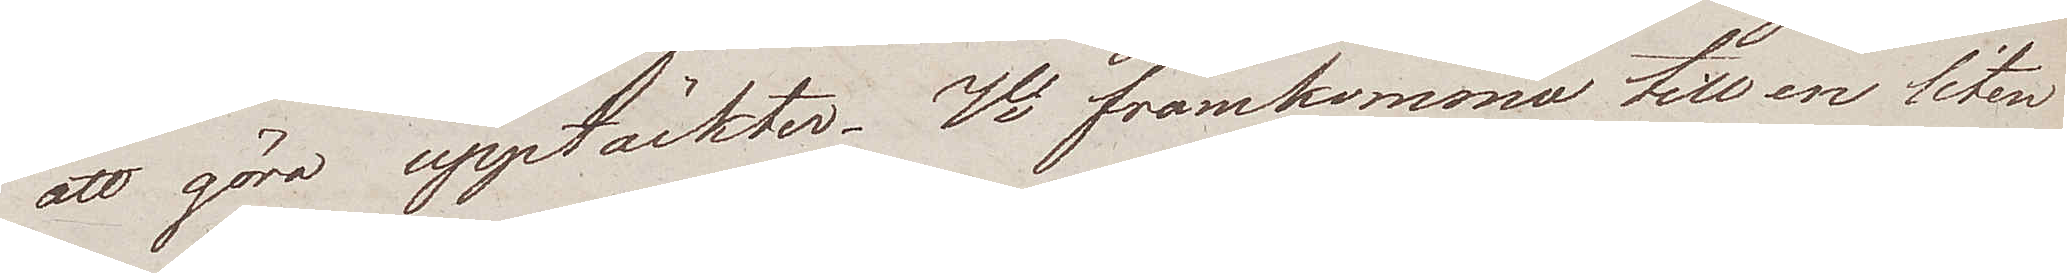att göra upptäckter. Vi framkommo till en liten
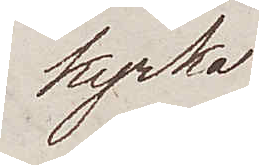kyrka
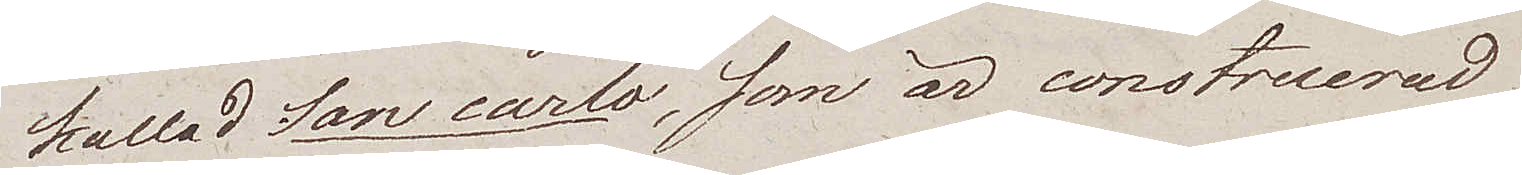kallad San carlo, som är construerad
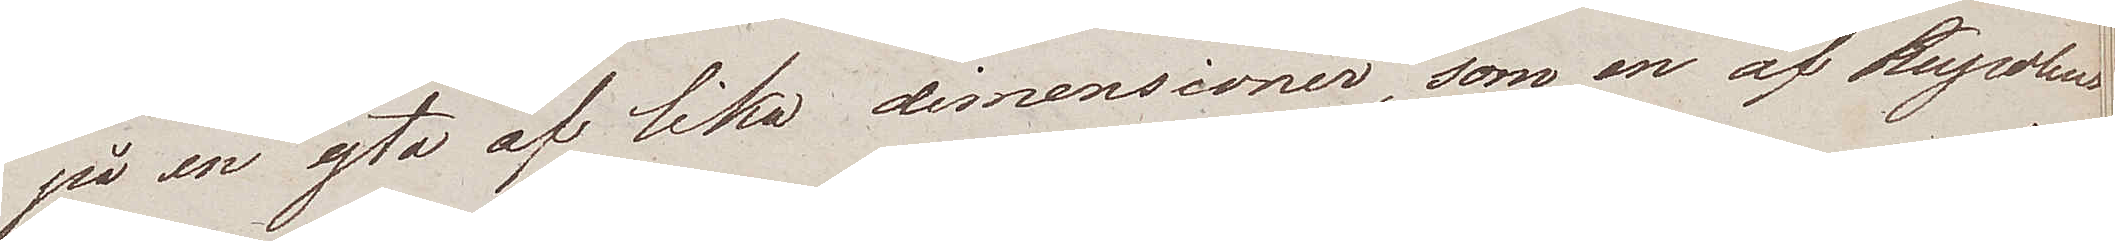på en yta af lika dimensioner, som en af Kupolens
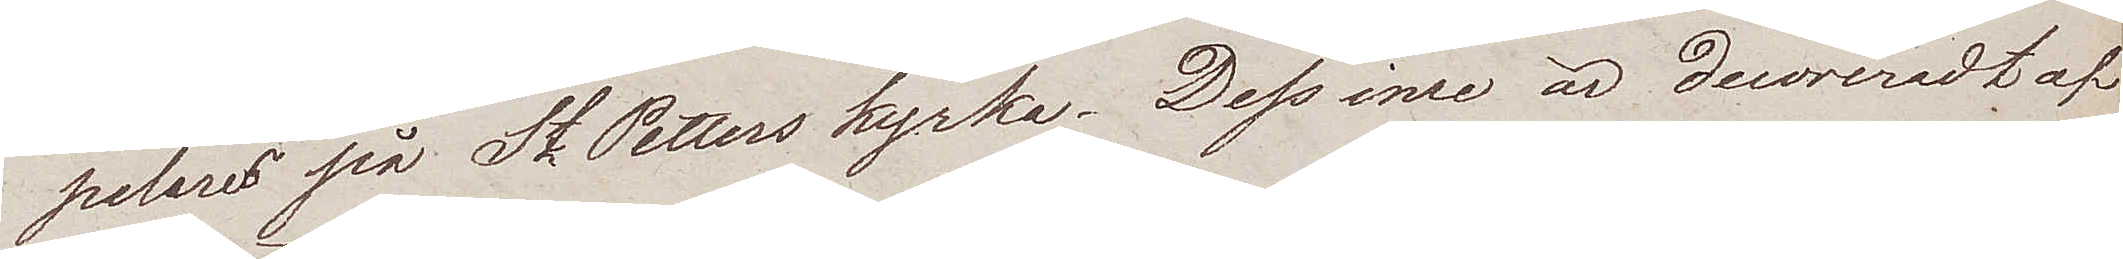pelares på St Petters kyrka. Dess inre är decoreradt af
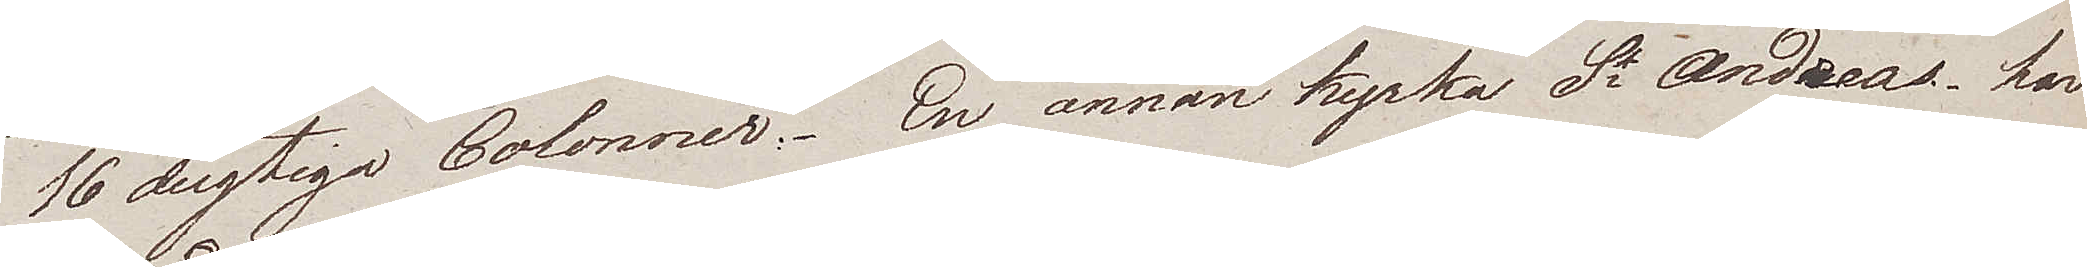16 dugtiga Colonner. En annan kyrka St Andreas, har
